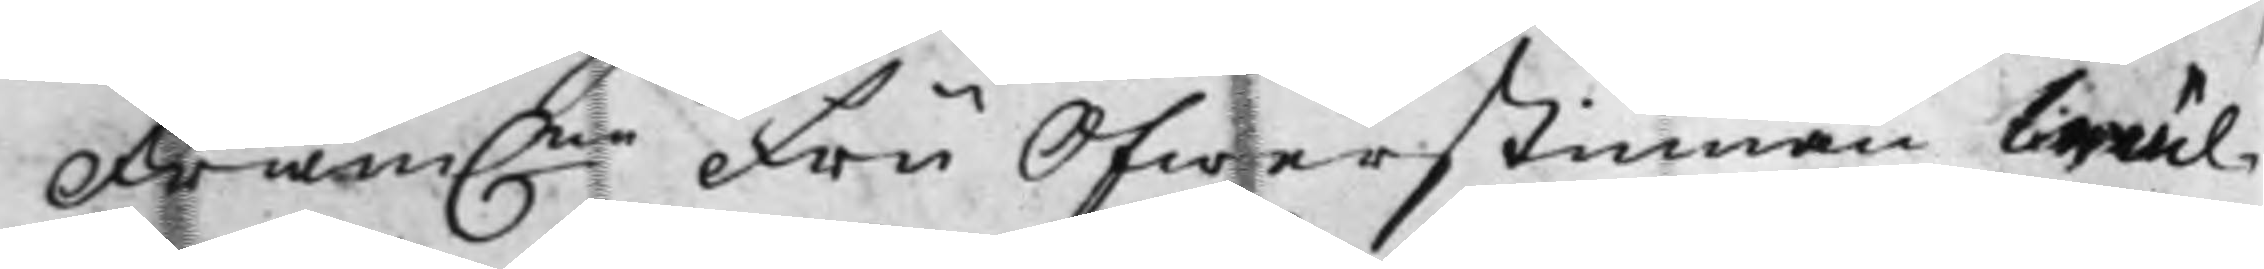Fram.ne Fru Öfwerstinnan Wäl¬
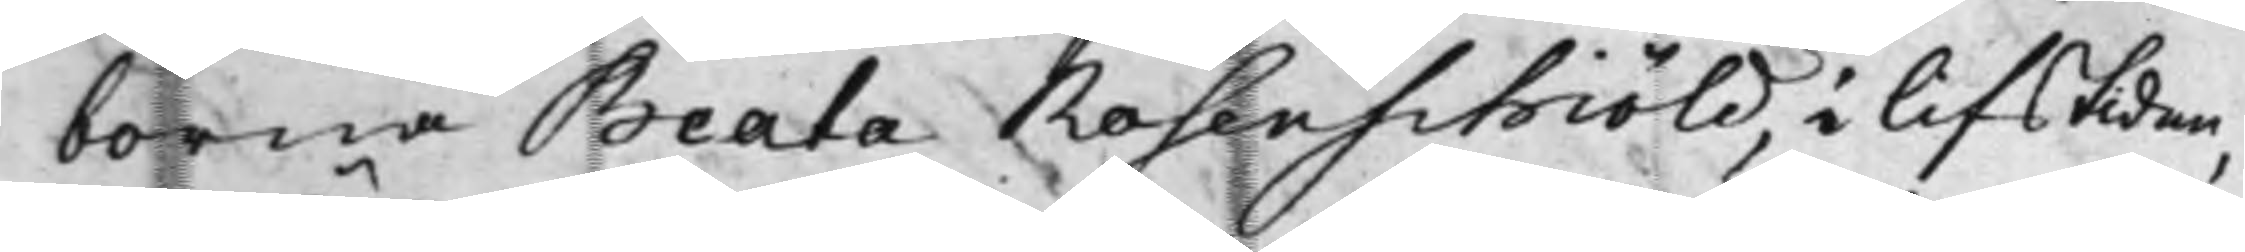borna Beata Rosenschiöld, i lifstiden,
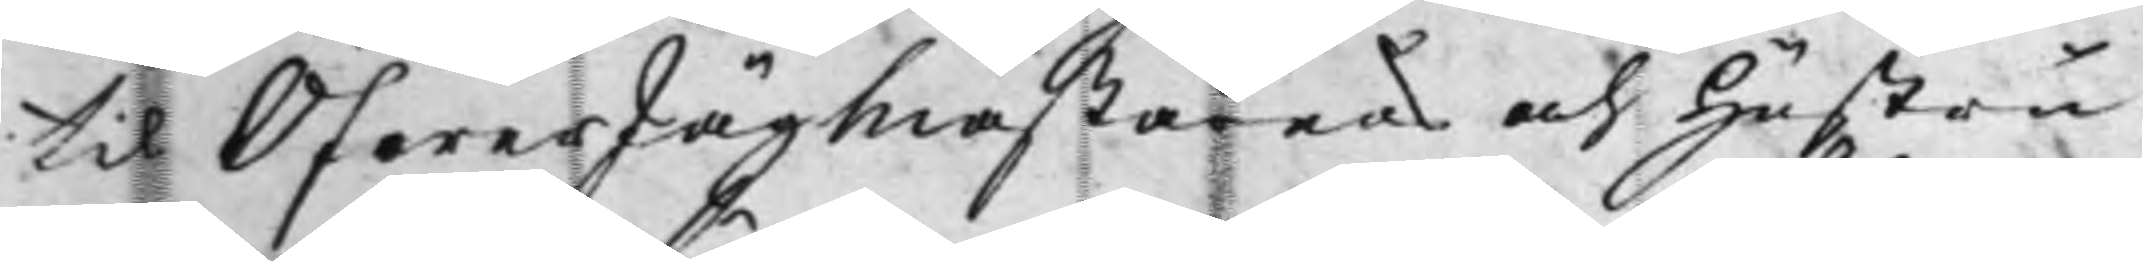til ÖfwerJägmästarens och Hustru
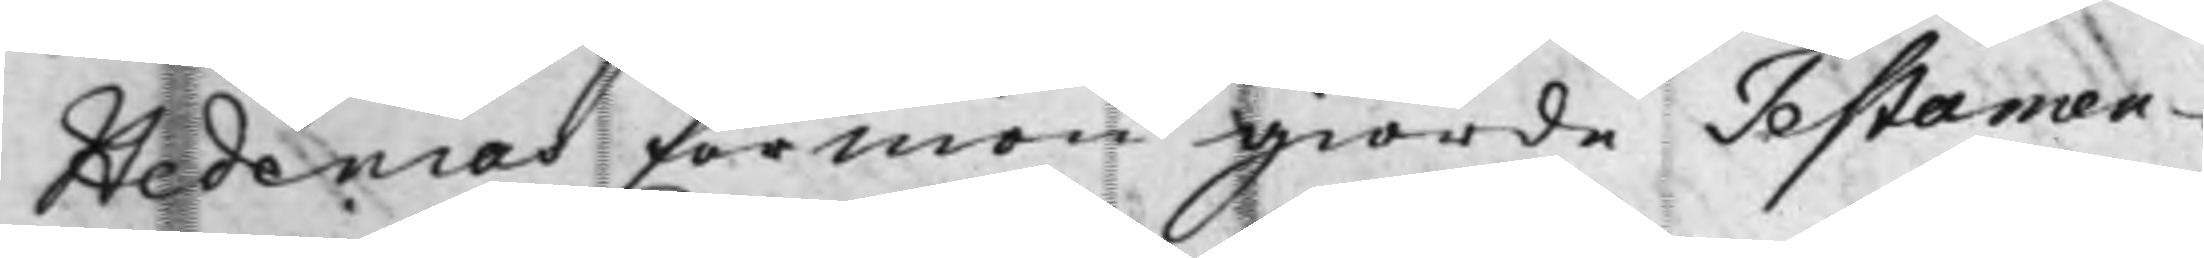Hedenias förmon giorde Testamen¬
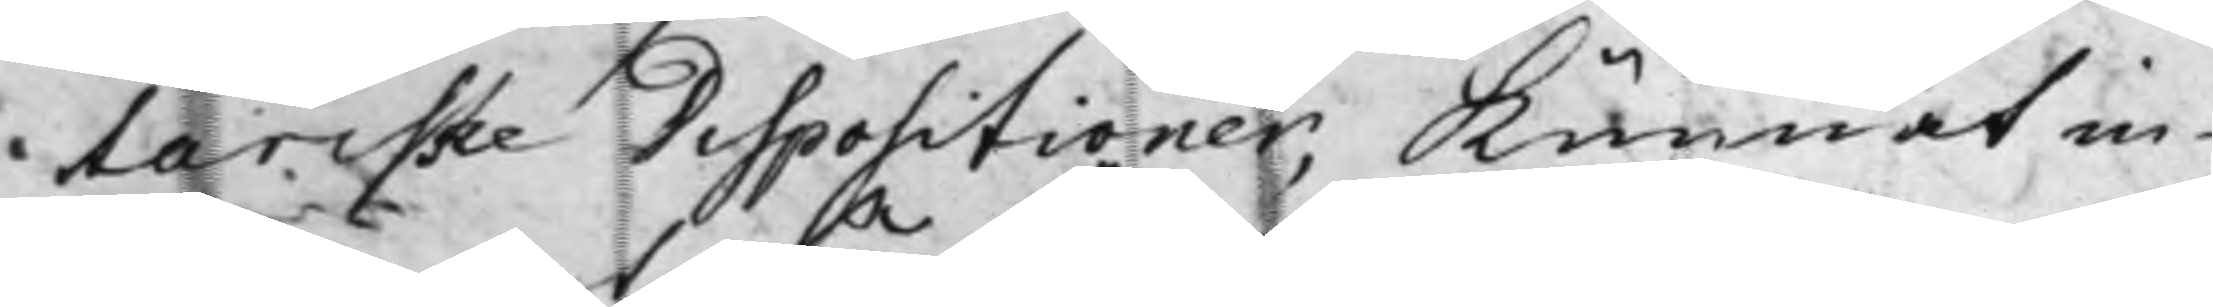tariske Dispositioner, kunnat in¬
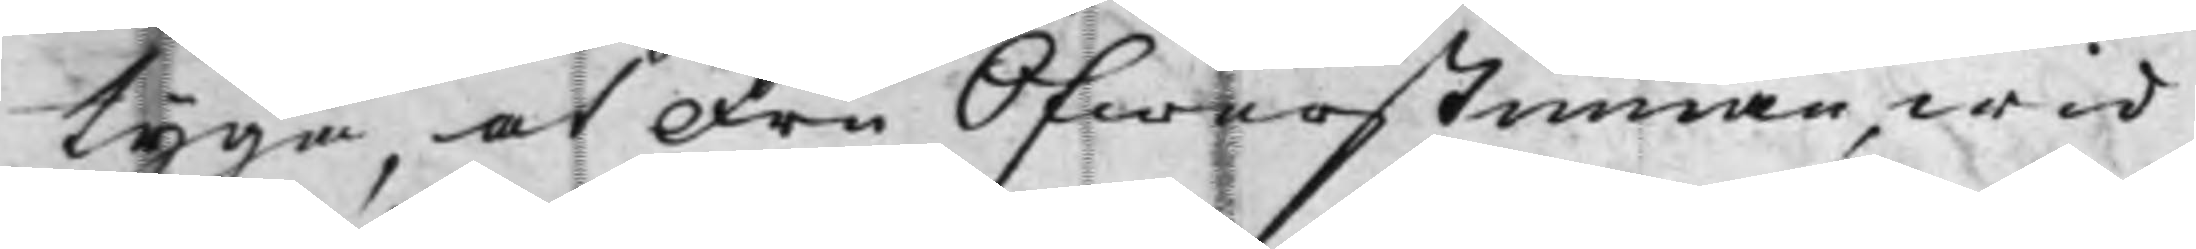tyga, at Fru Öfwerstinnan, wid
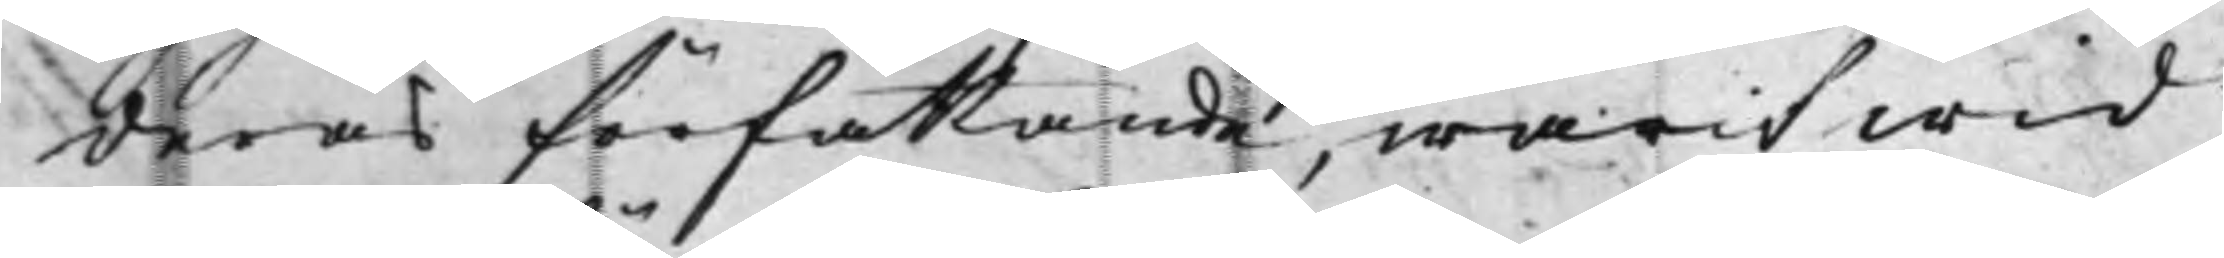deras författande, warit wid
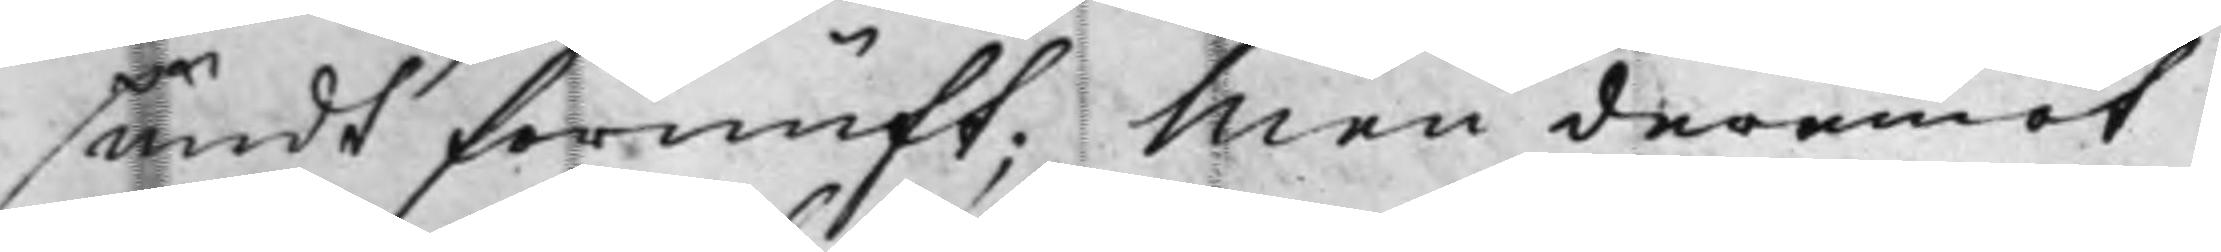sundt förnuft; Men deremot
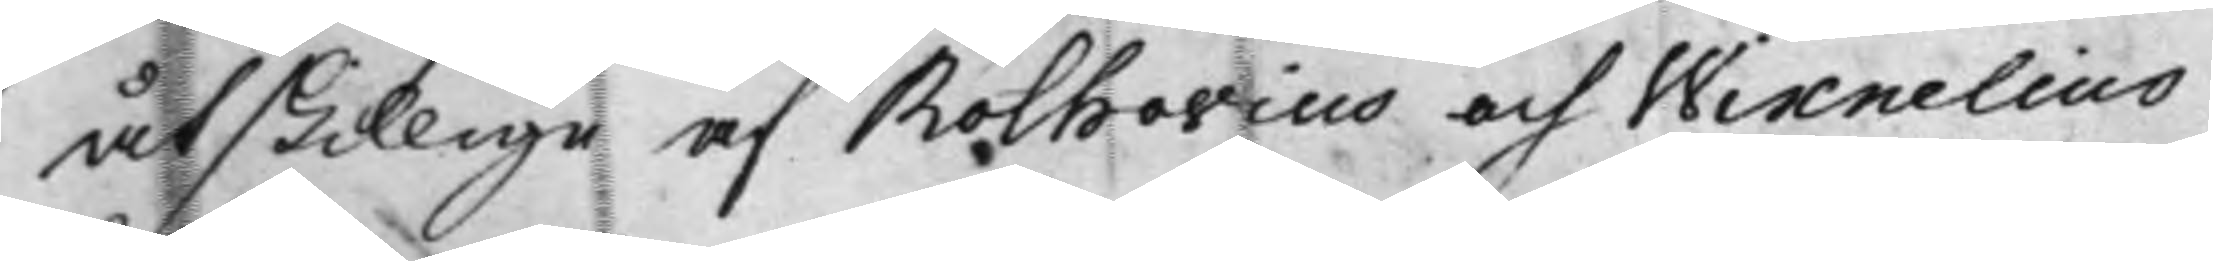åtskillige af Rothovius och Wixnelius
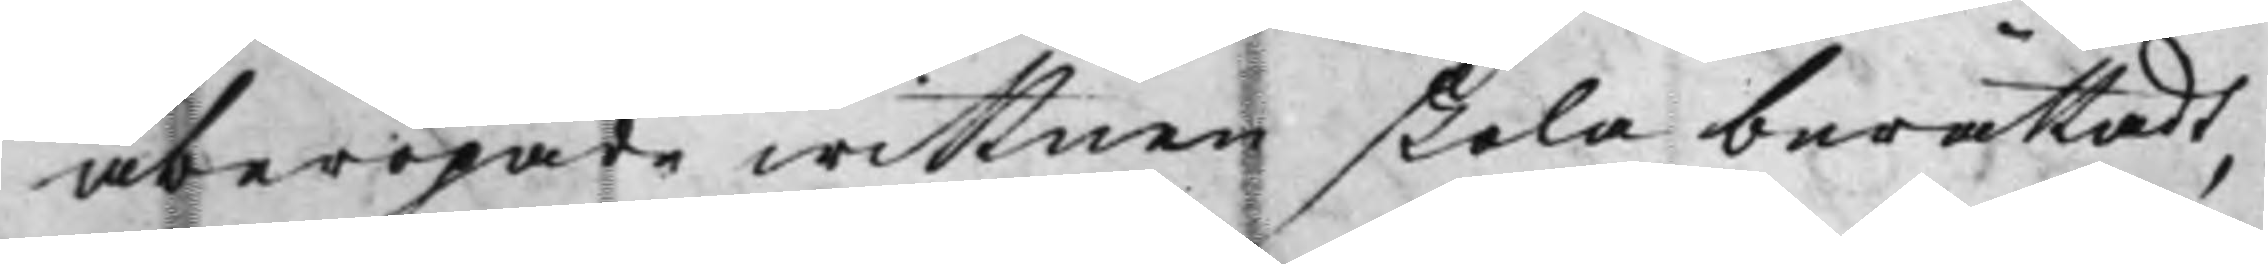åberopade wittnen skola berättadt,
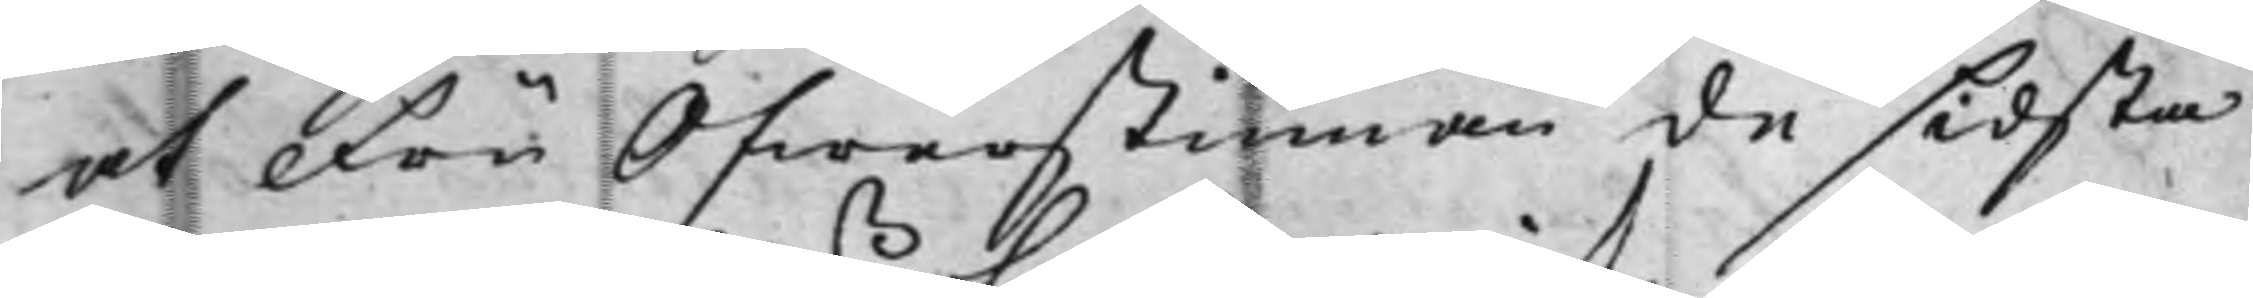at Fru Öfwerstinnan de sidsta
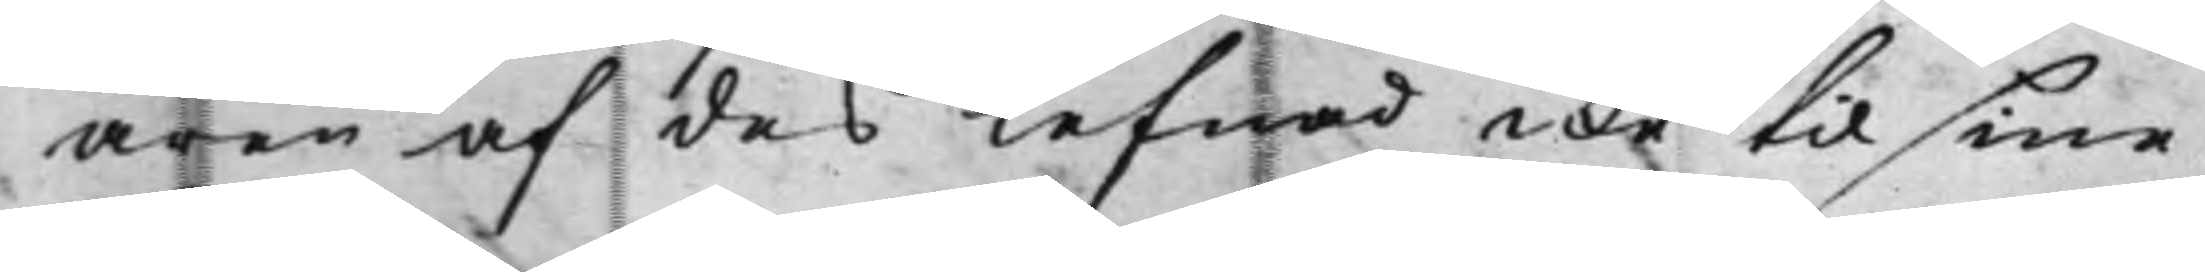åren af des lefnad icke til sine
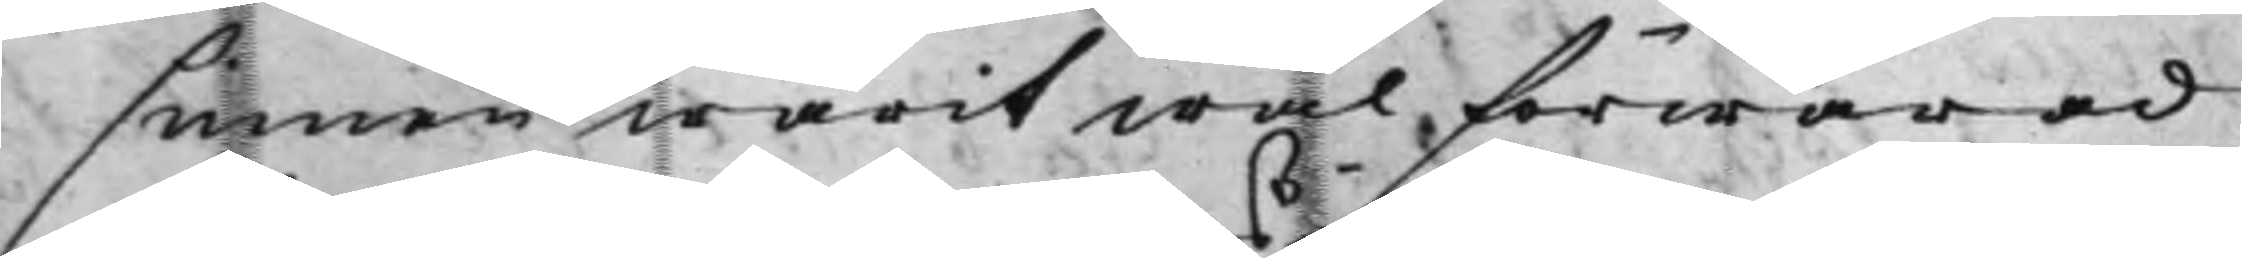sinnen warit wäl förwarad
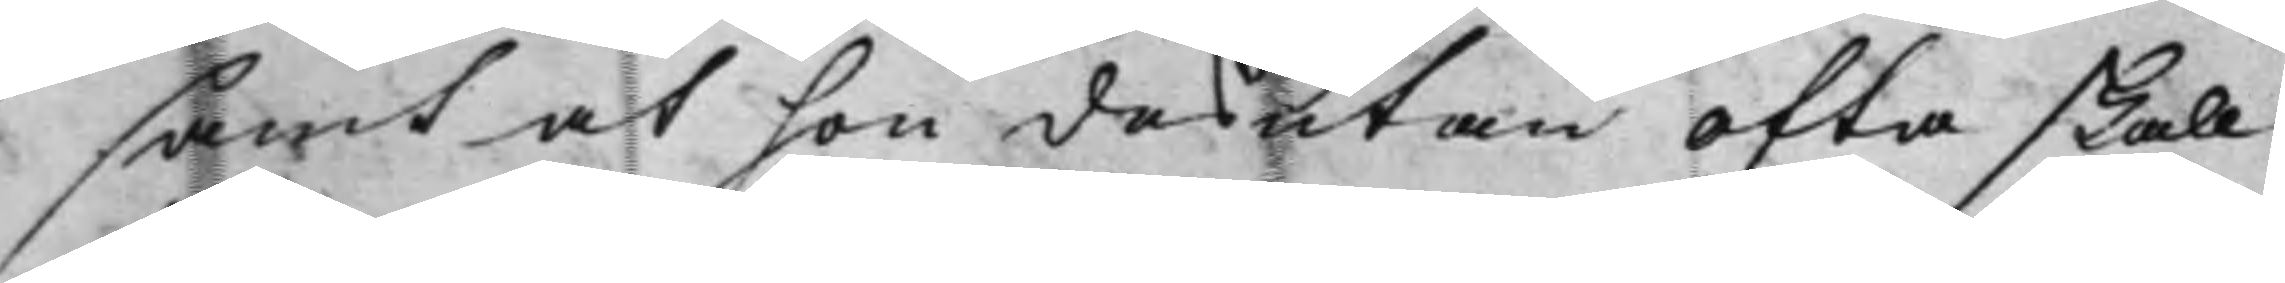samt at hon desutan ofta skall
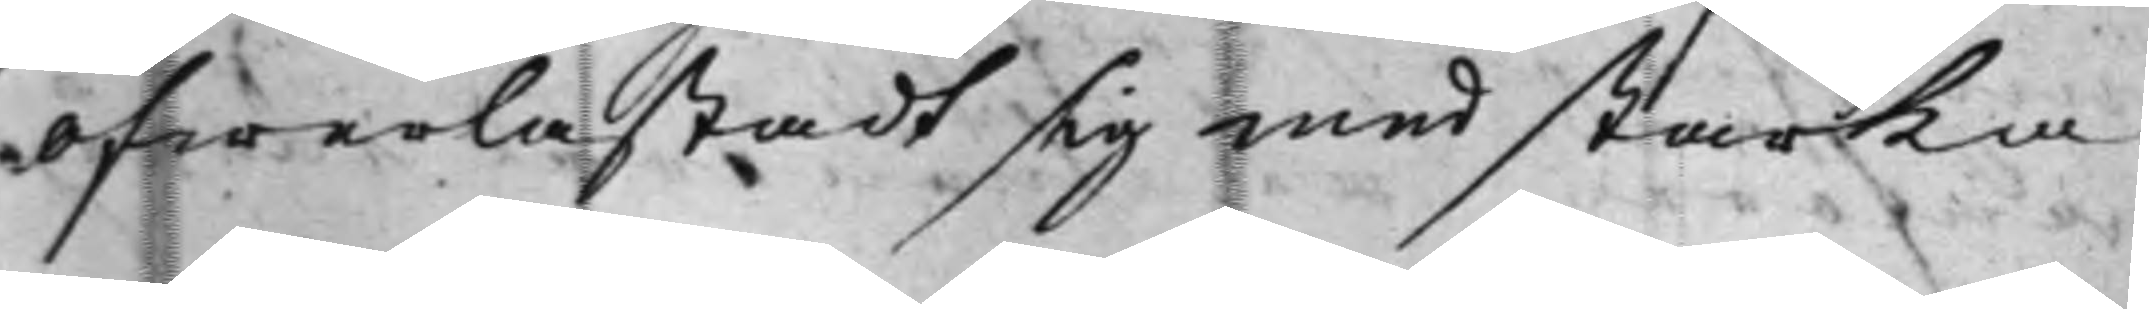öfwerlastadt sig med starka
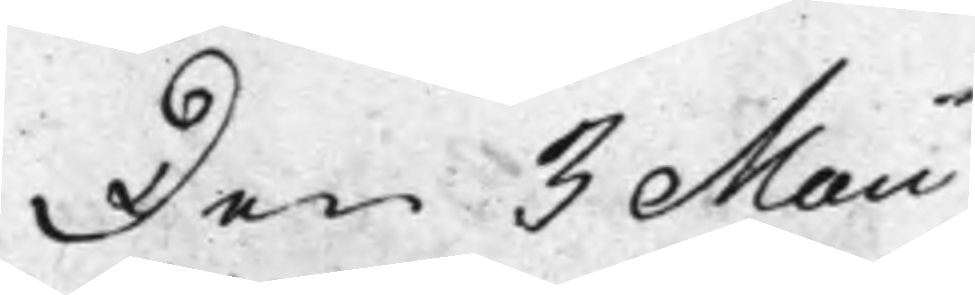Den 3 Maii
